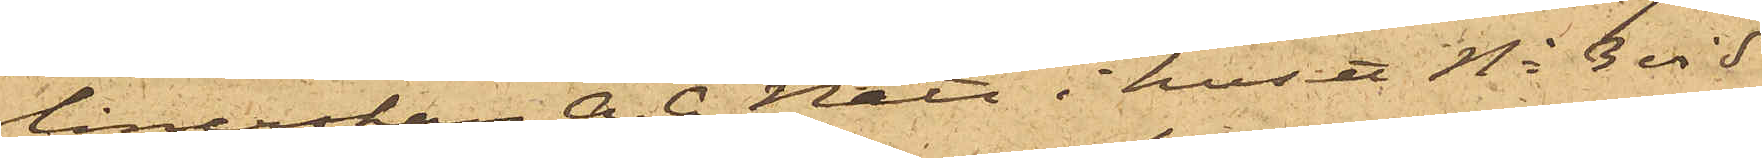lånerskan A. C. Nätt i huset No 3 vid
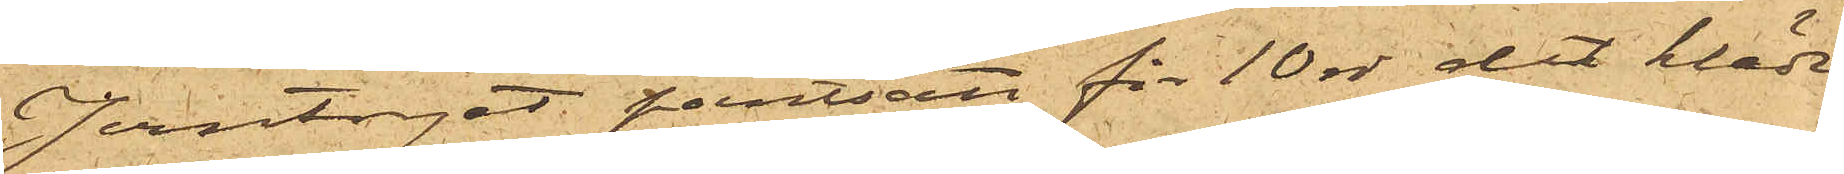Jerntorget pantsatt för 10 rdr det kläde
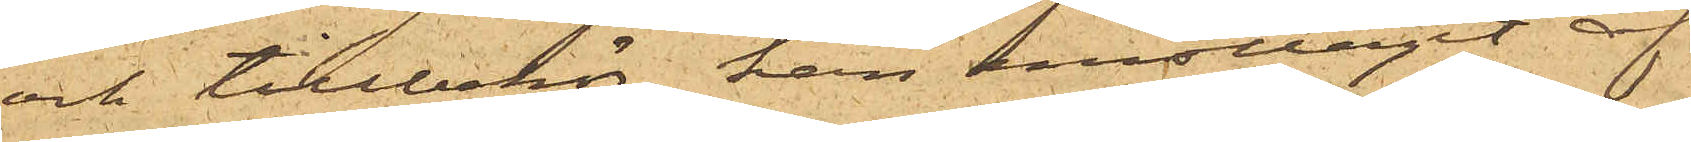och tillbehör han emottagit af
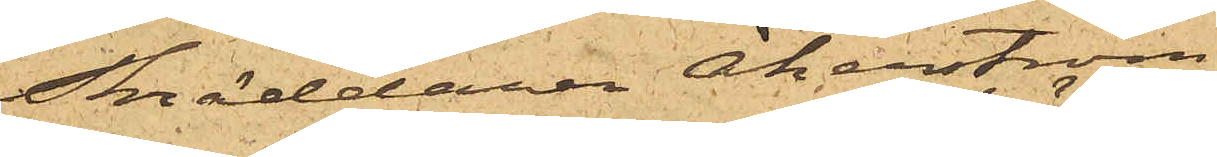skräddaren Åkerström.
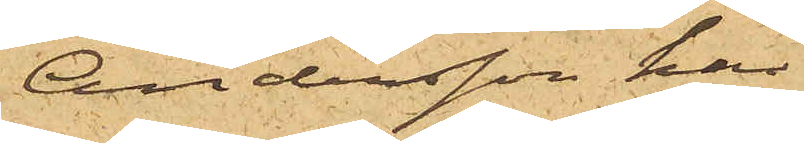Andersson har
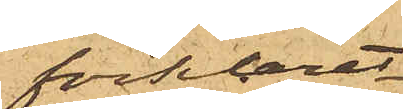förklarat,
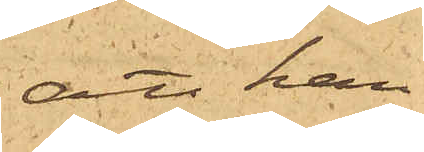att han
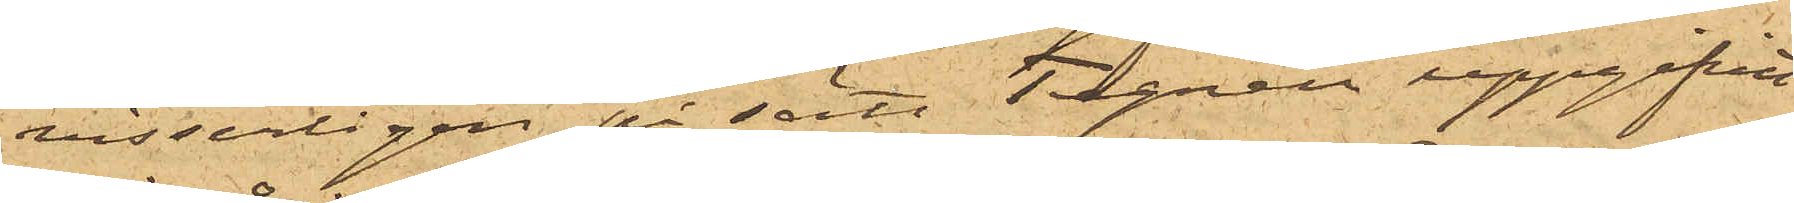visserligen på sätt Tegnell uppgifvit
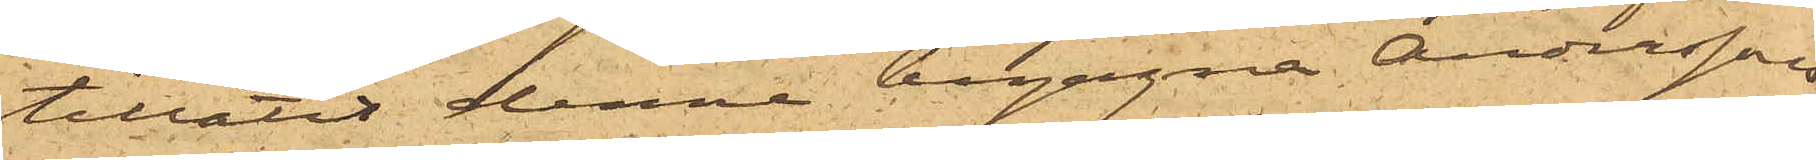tillåtit denne begagna Anderssons
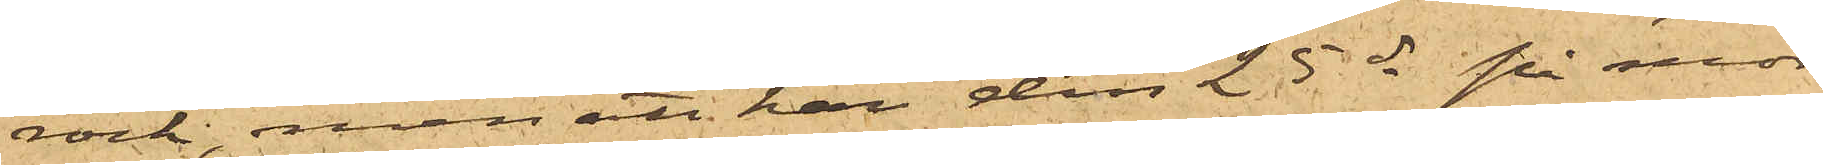rock, men att han den 25 ds på mor¬
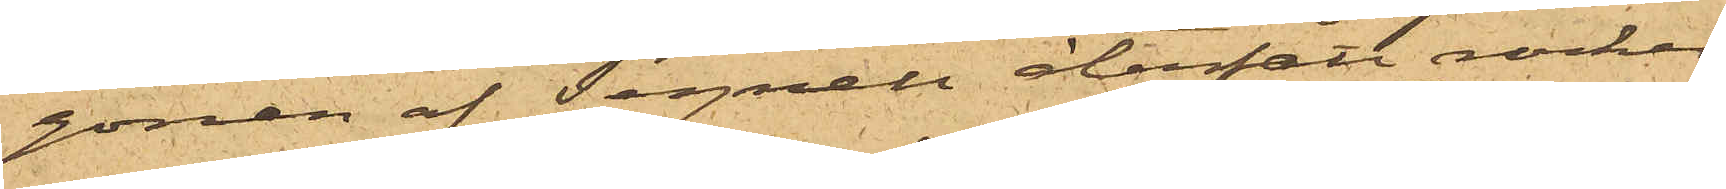gonen af Tegnell återfått rocken
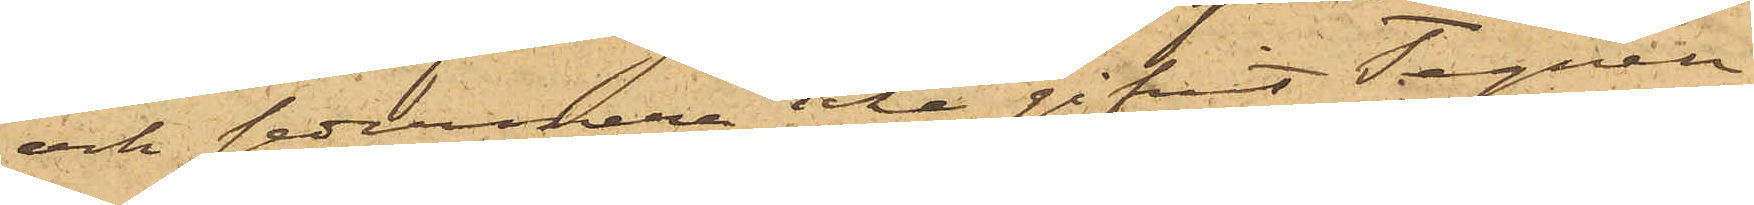och sednare icke givit Tegnell
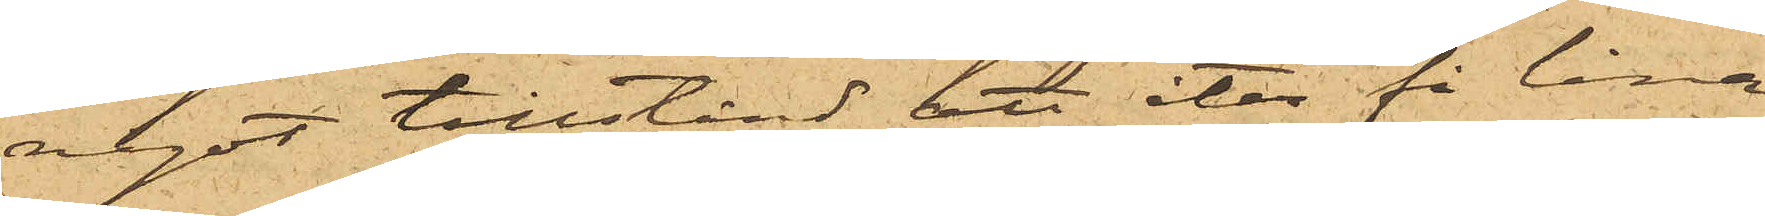något tillstånd att åter få låna
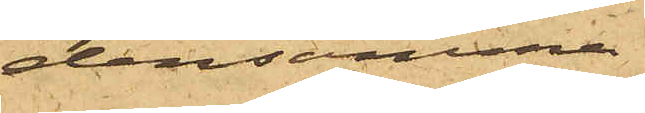densamma.
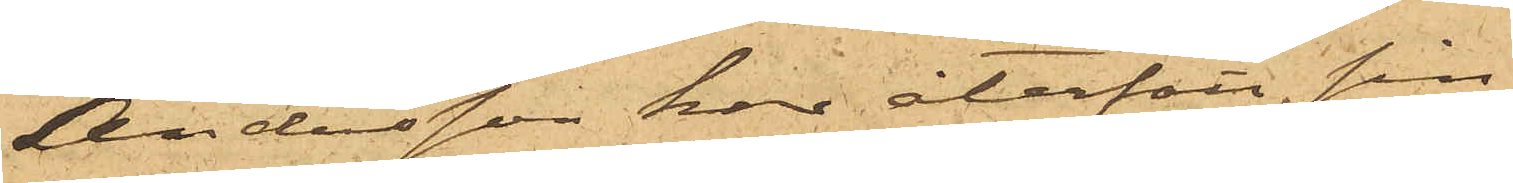Andesson har återfått sin
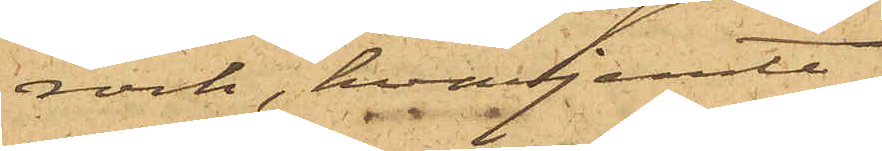rock, hvarjemte
